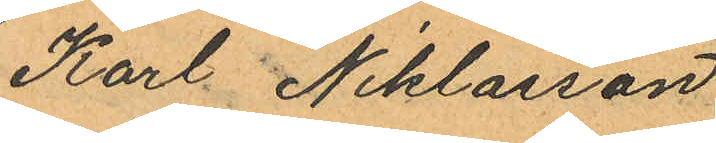Karl Niklasson
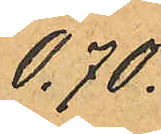0.70.
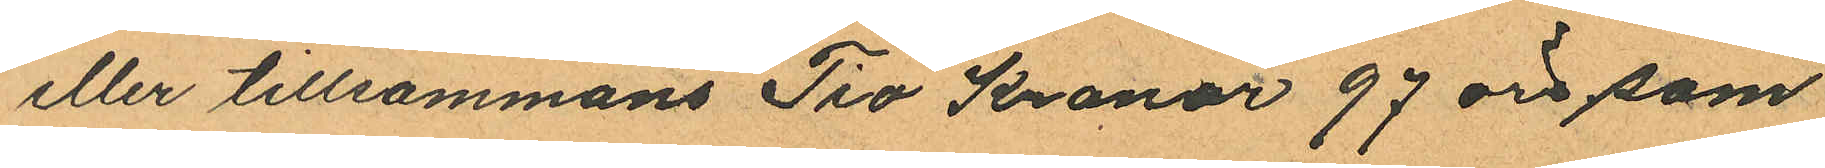eller tillsammans Tio Kronor 97 öre, som
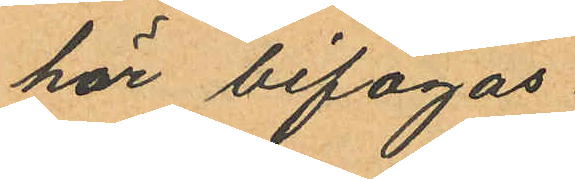här bifogas.
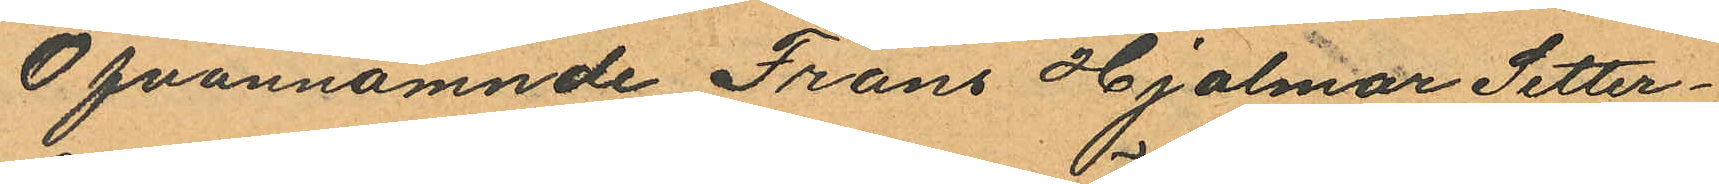Ofvannämnde Frans Hjalmar Setter¬
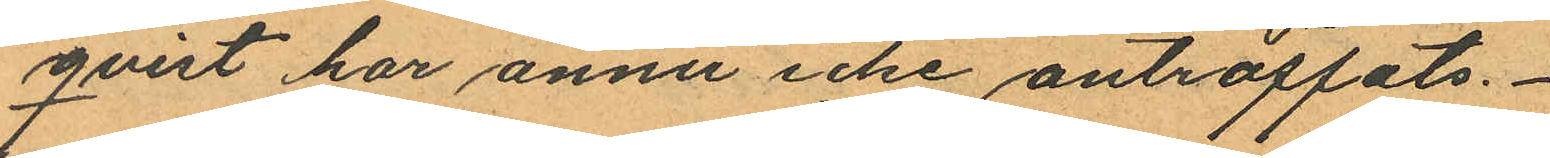qvist har ännu icke anträffats.
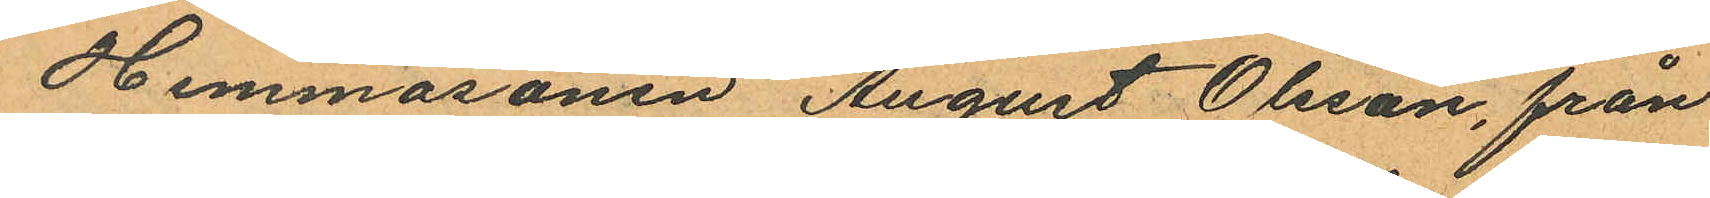Hemmasonen August Olsson, från
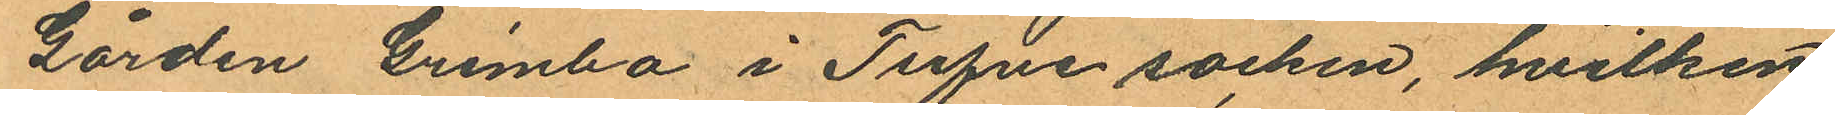Gården Grimbo i Tufve socken, hvilken
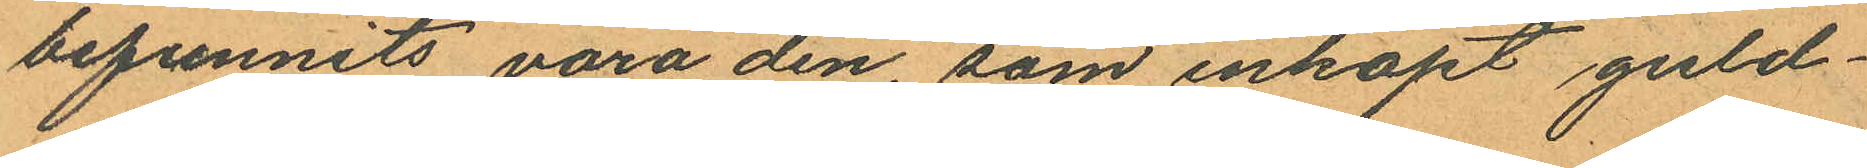befunnits vara den, som inköpt guld¬
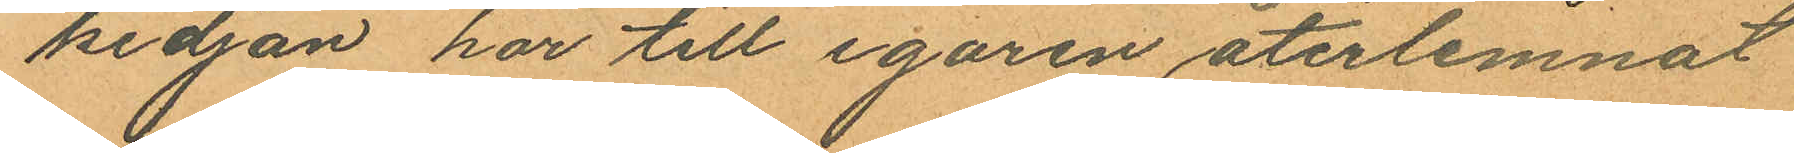kedjan har till egaren återlemnat
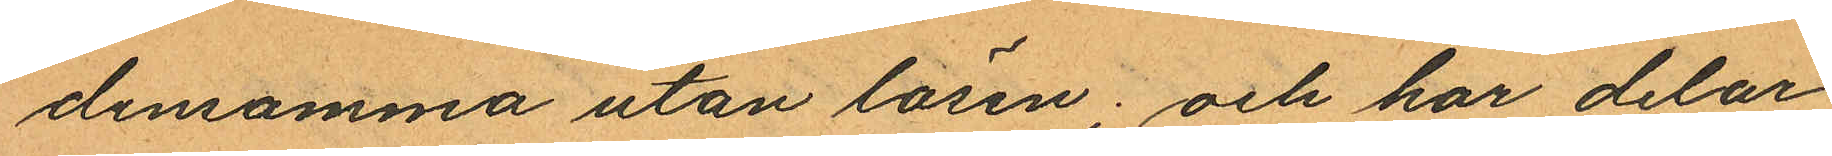densamma utan lösen; och har delar
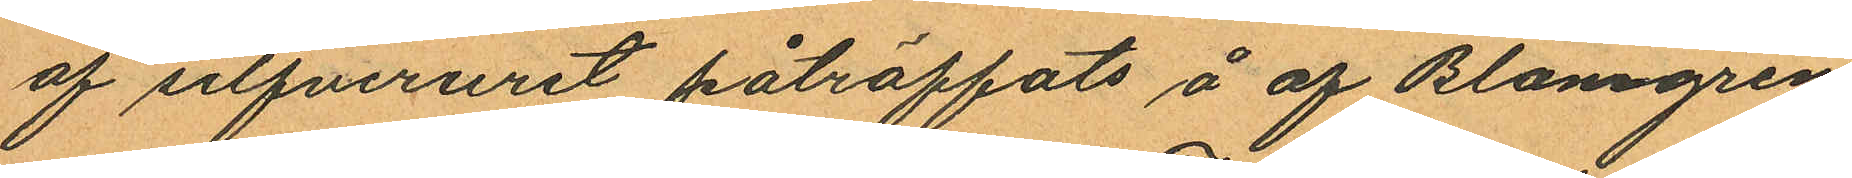af silfveruret påträffats å af Blomgren
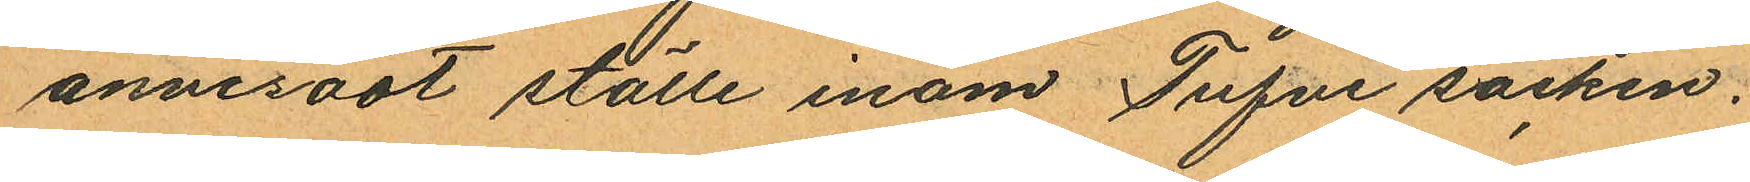anvisadt ställe inom Tufve socken.
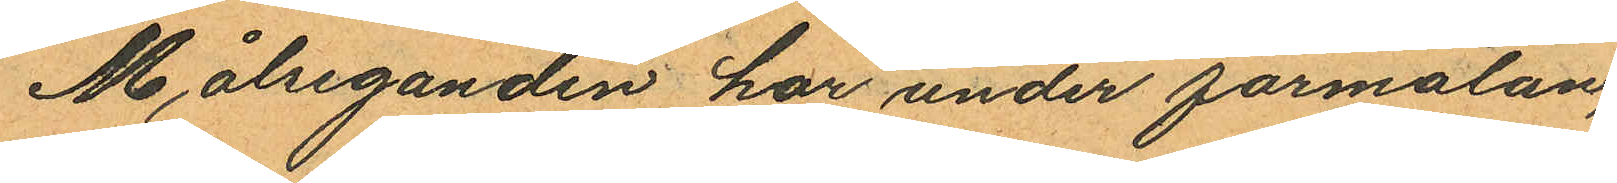Målseganden har under förmälan,
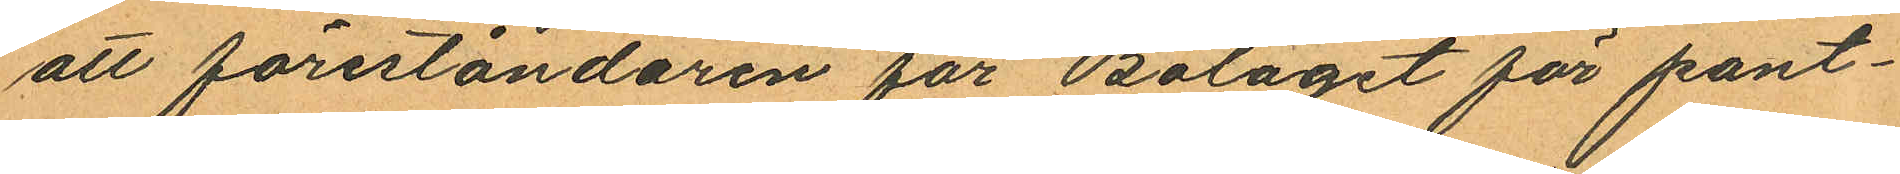att föreståndaren för Bolaget för pant¬
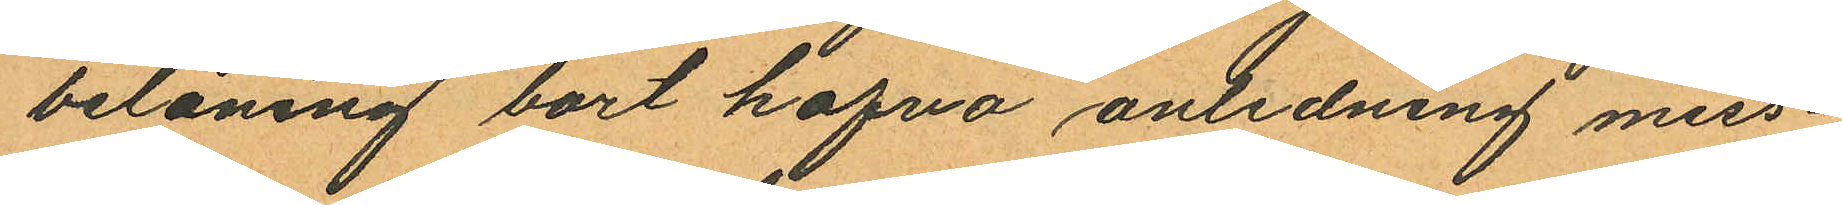belåning bort hafva anledning miss¬
